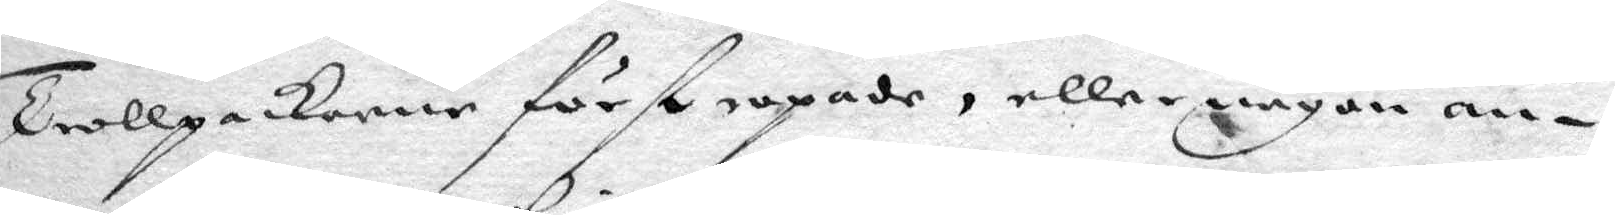Trollpackorne först ropade, eller någon an¬
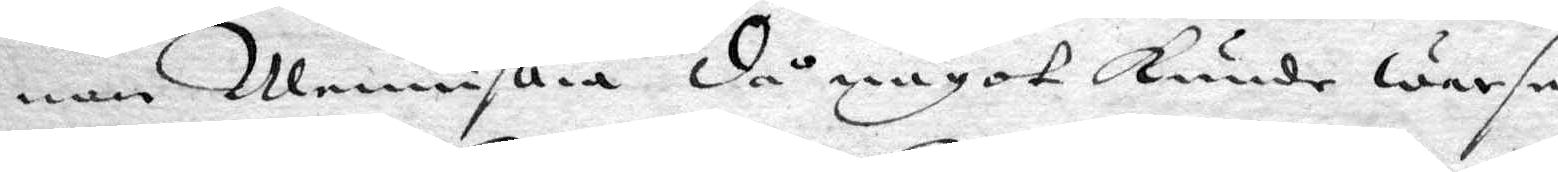nan Menniskia då något kunde warse
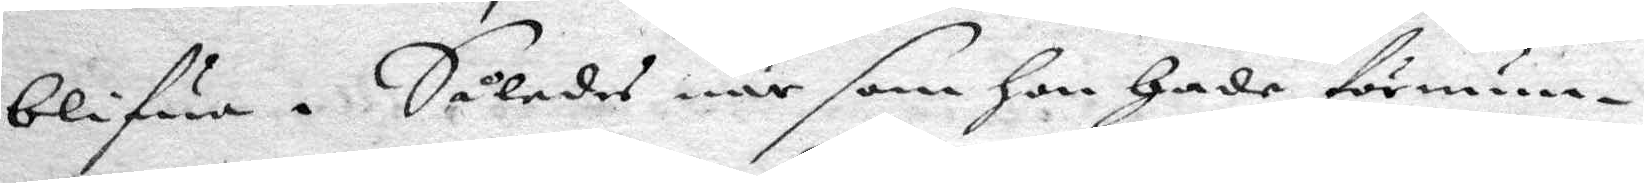blifwa. Således när som hon hade förnum¬
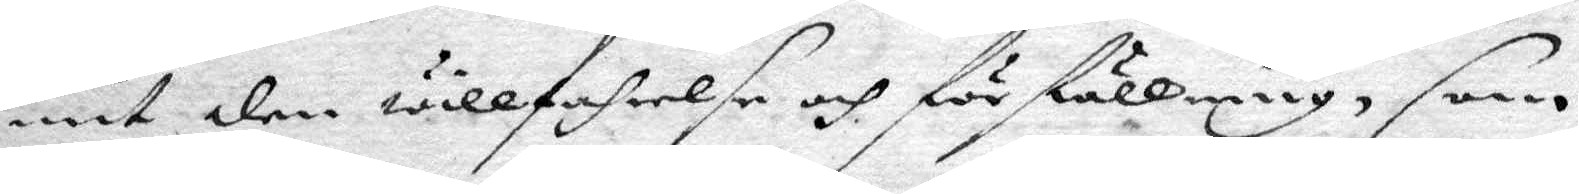mit den willfahrelse och förställning, som
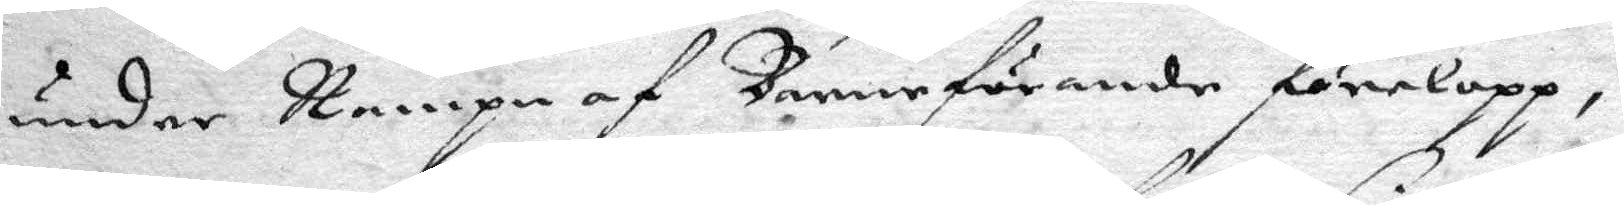under Nampn af Barnafrande förelopp,
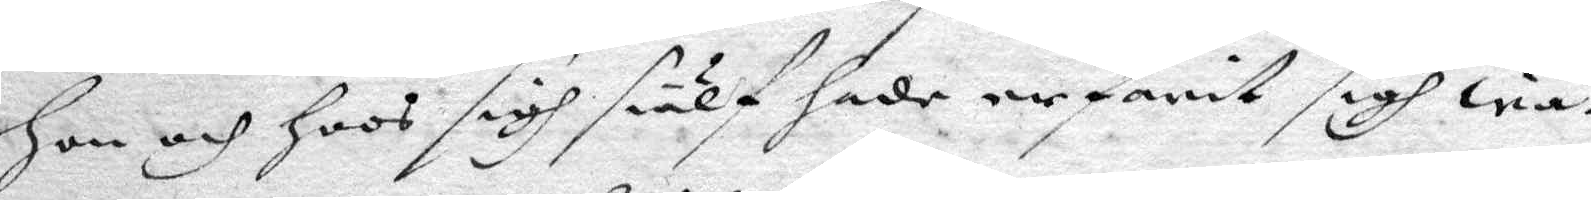hon och hoos sigh siälf hade erfarit sigh wa¬
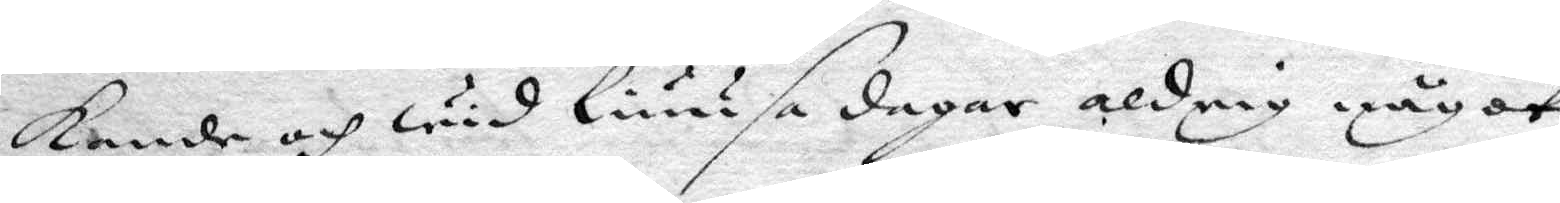kande och wid liuusa dagar aldrig något
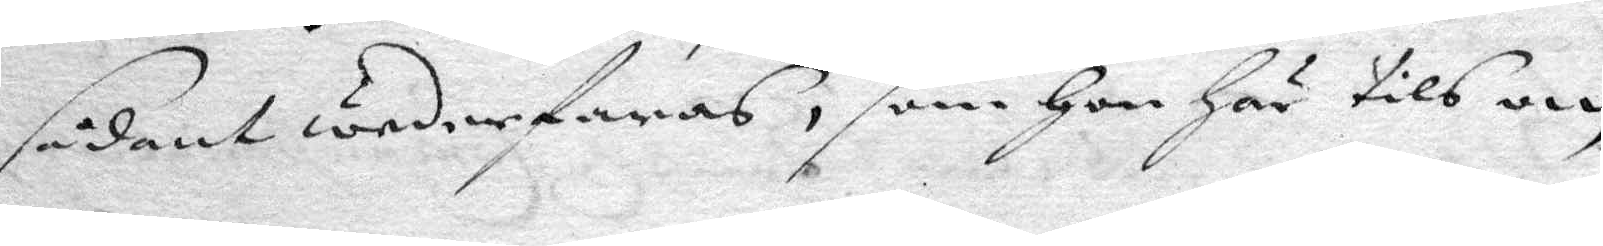sådant wederfaras, som hon här tils om
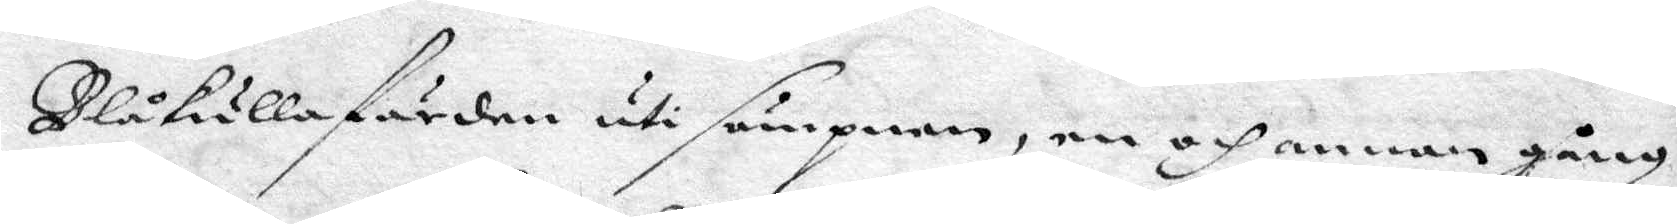Blåkullafärden uti sömpnen, en och annan gång
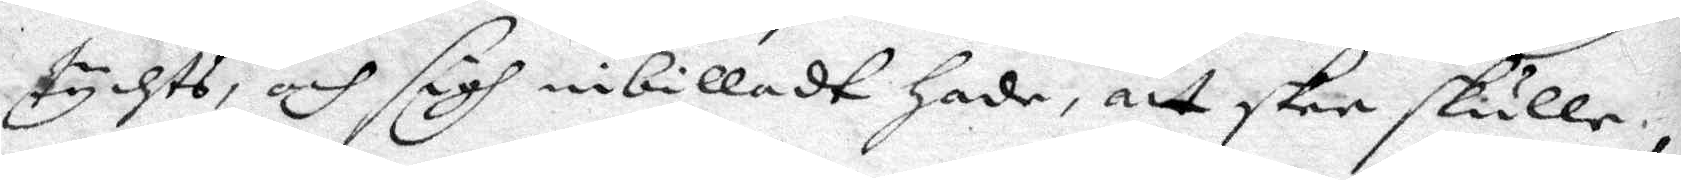tychts, och sigh inbilladt hade, att skee skulle,
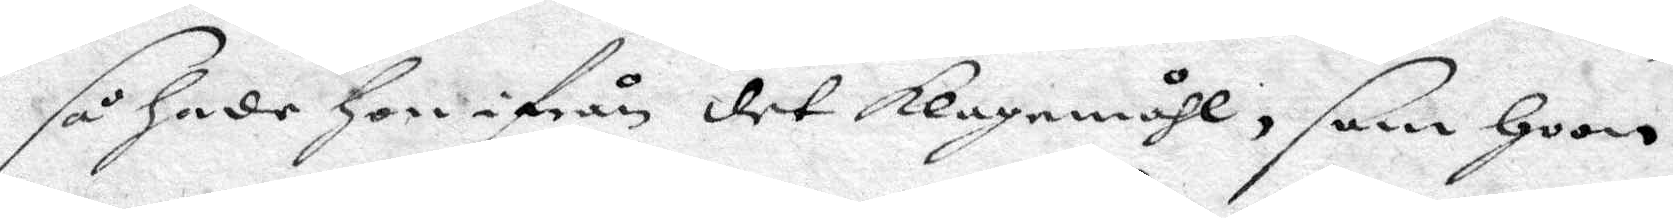så hade hon ifrån det klagomåhl, som hoon
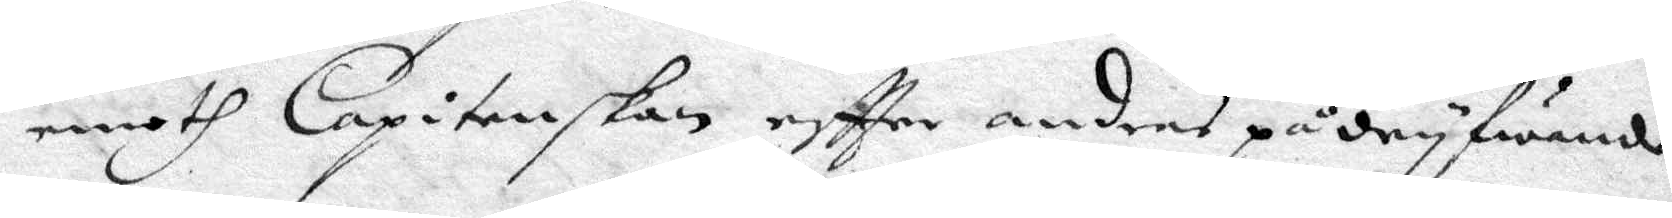emoth Capitenskan eftter andras pådryfwande
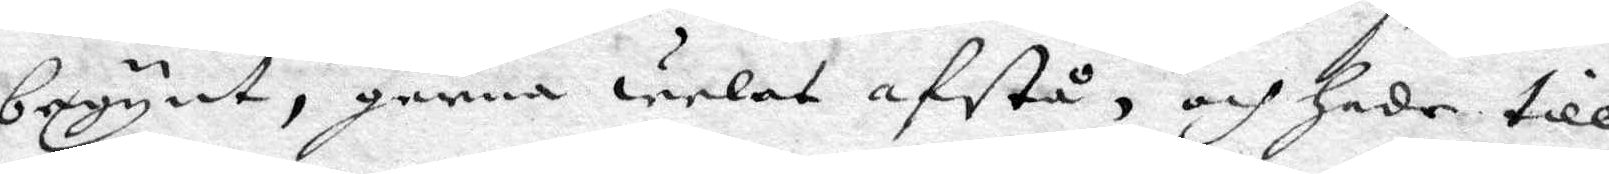begynt, gerna welat afstå, och hade till
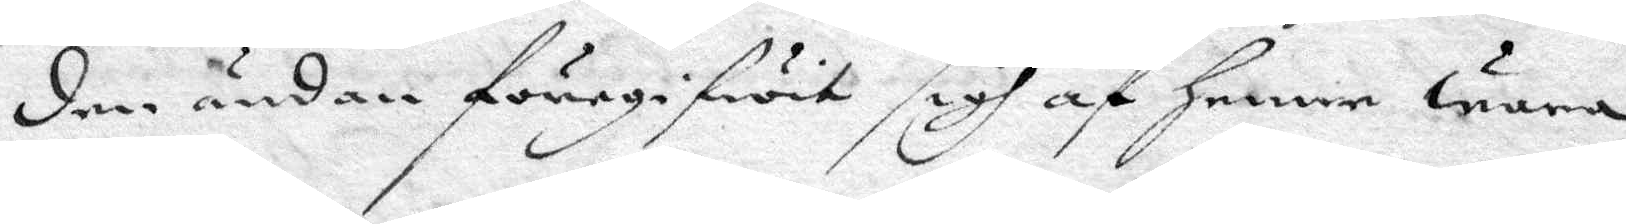den ndan förgegifwit sigh af henne wara
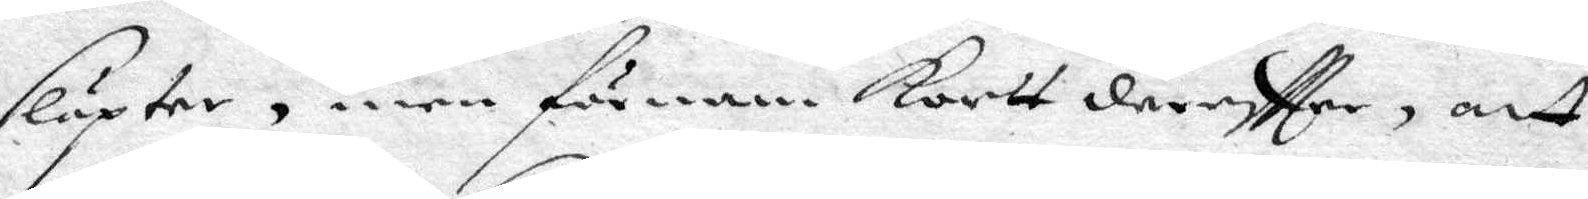släpter, men förnam korttdereftter, att
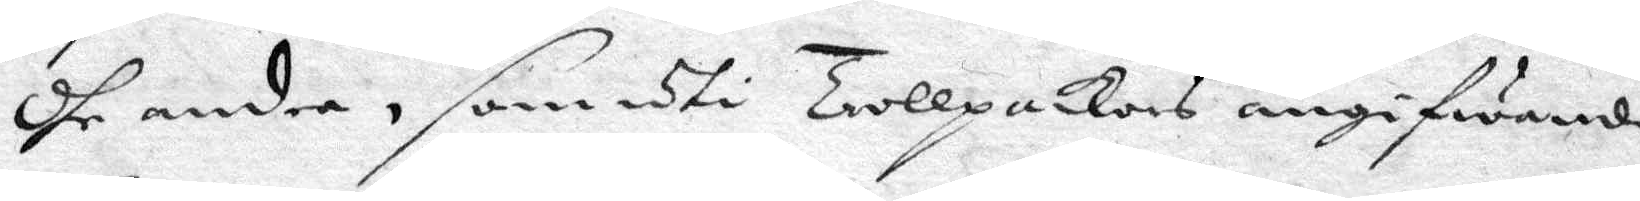dhe andre, som uti Trollpackors angifwande
